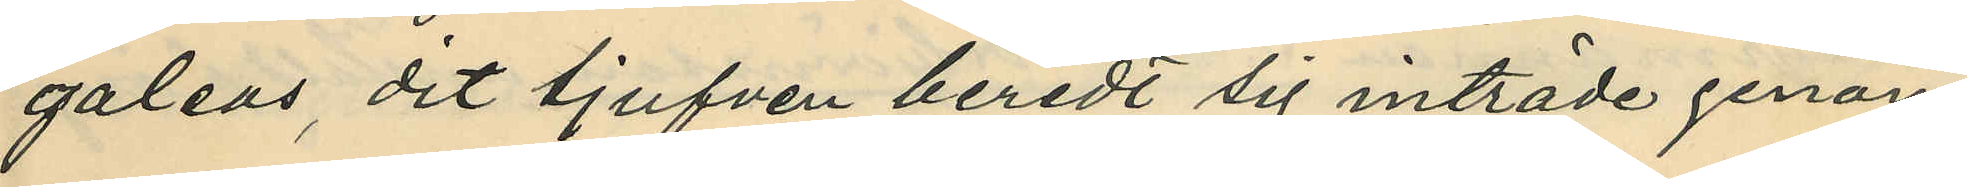galeas, dit tjufven beredt sig inträde genom
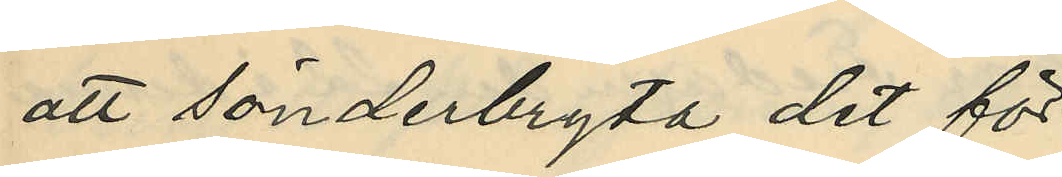att sönderbryta det för
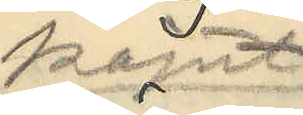kajuta¬
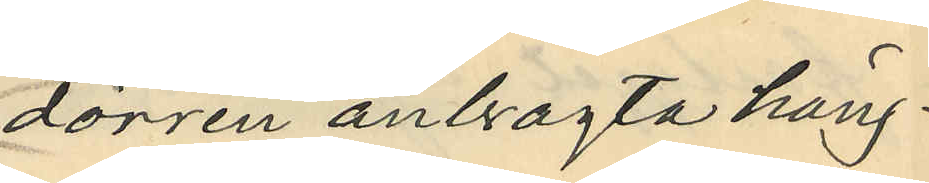dörren anbragta häng¬
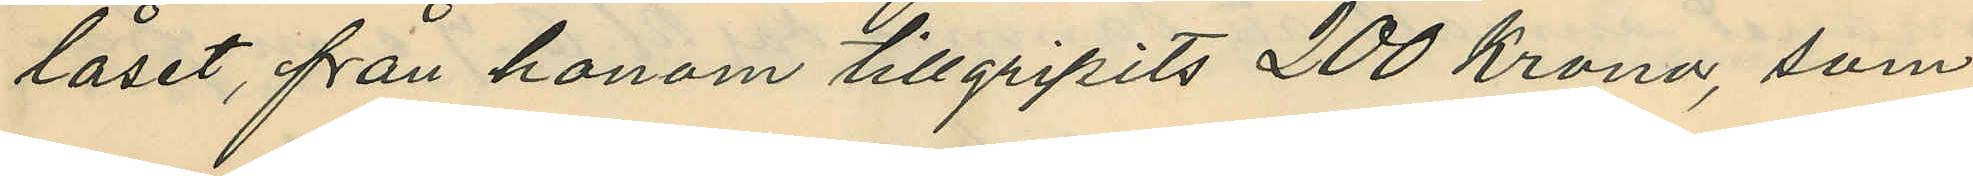låset, från honom tillgripits 200 Kronor, som
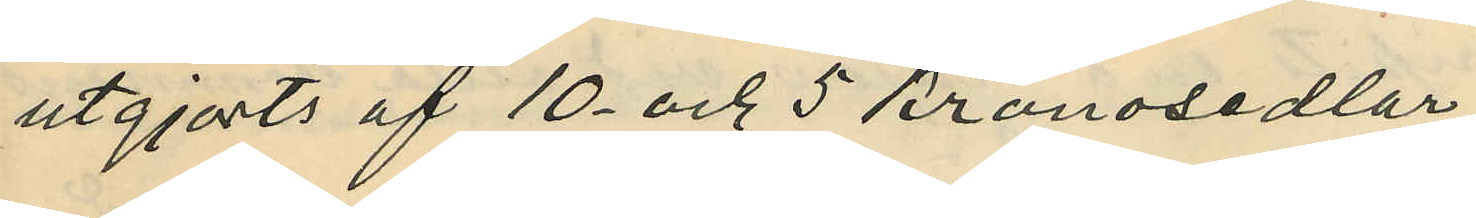utgjorts af 10 och 5 kronosedlar,
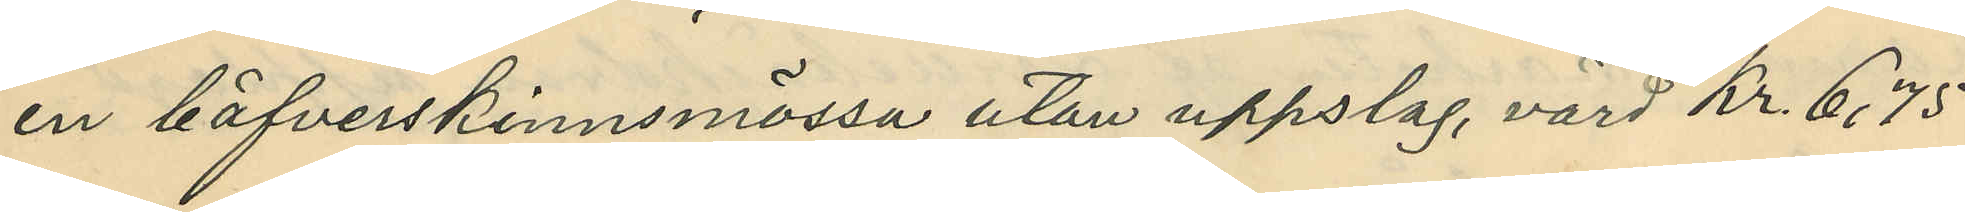en bäfverskinnsmössa utan uppslag, värd Kr 6,75
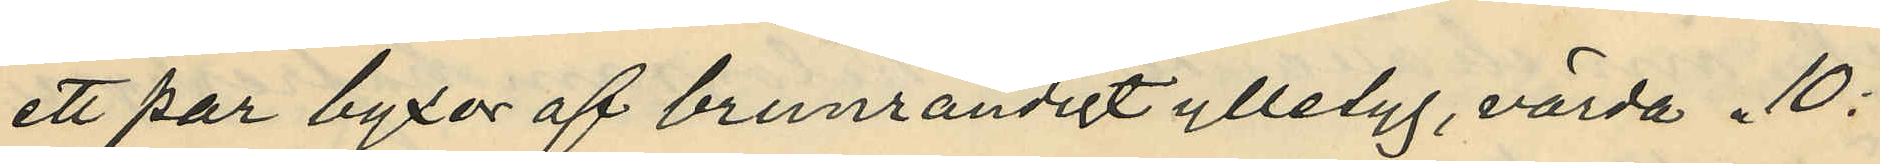ett par byxor af brunrandigt ylletyg, värda 10:
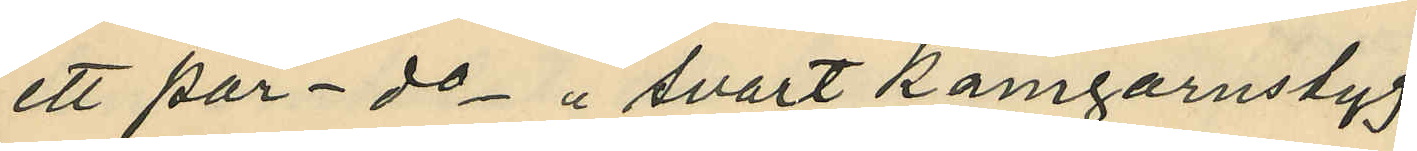ett par - do - " å svart kamgarnstyg
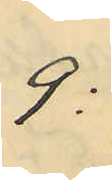9:
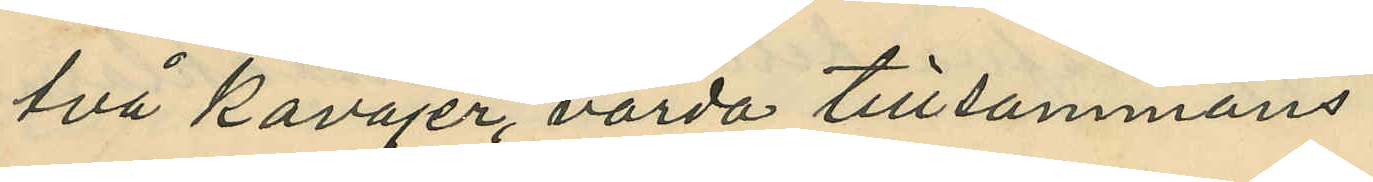två Kavajer, värda tillsammans
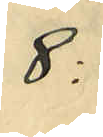8:
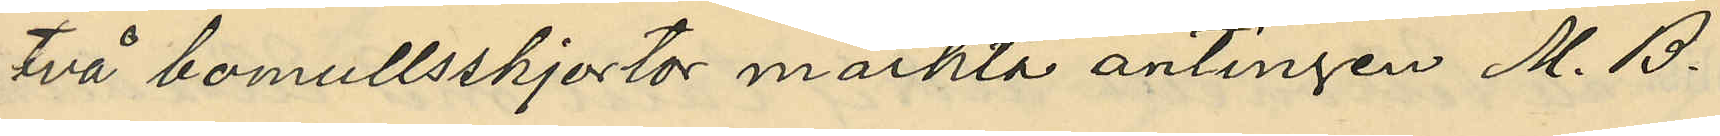två bomullsskjortor märkta antingen M. B.
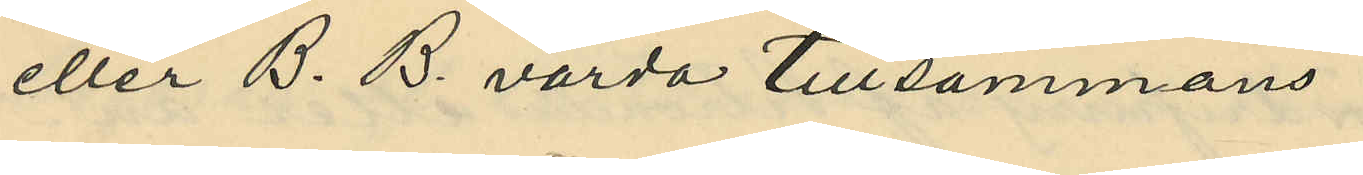eller B. B. värda tillsammans
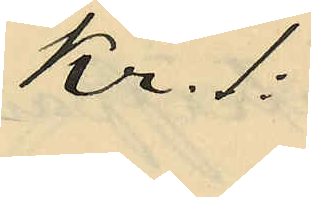Kr. 1:
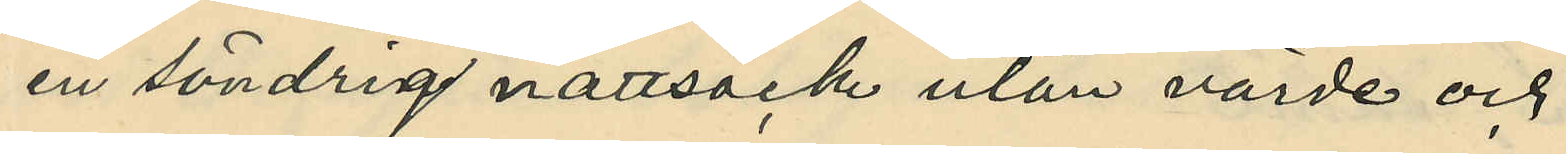en söndrig nattrock utan värde och
